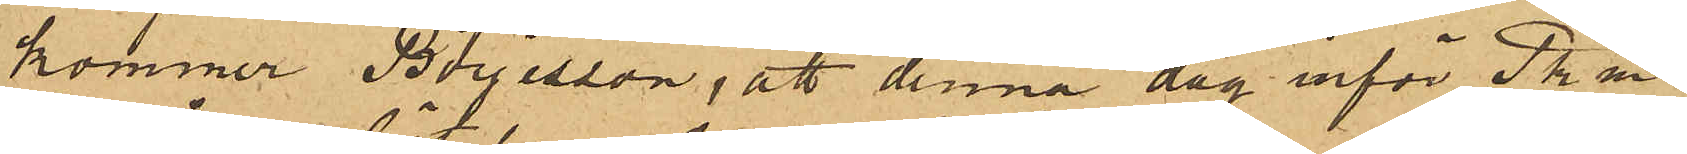kommer Börjesson, att denna dag inför Pkm
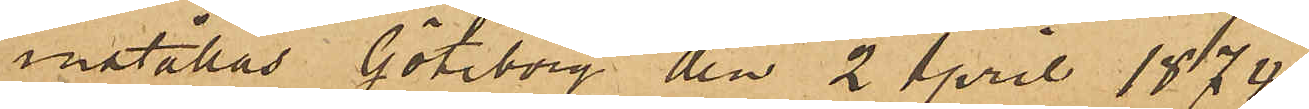inställas. Göteborg den 2 April 1874.
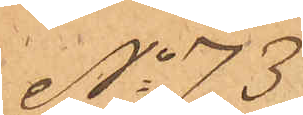No 73
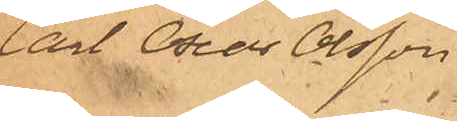Carl Oscar Olsson.
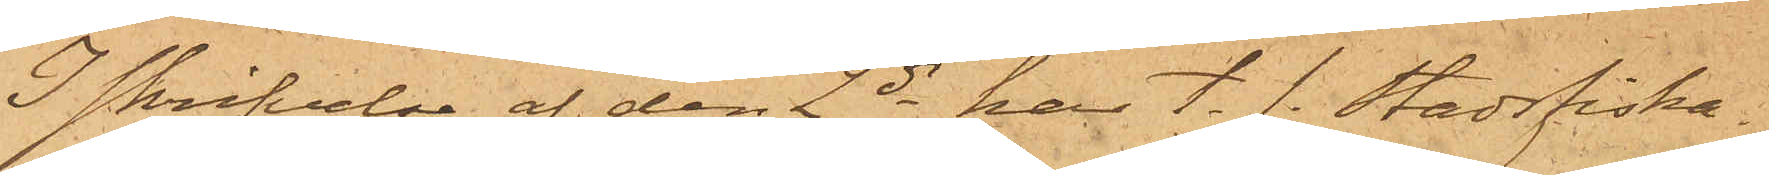I skrifvelse af den 2 ds har t. f. Stadsfiska¬
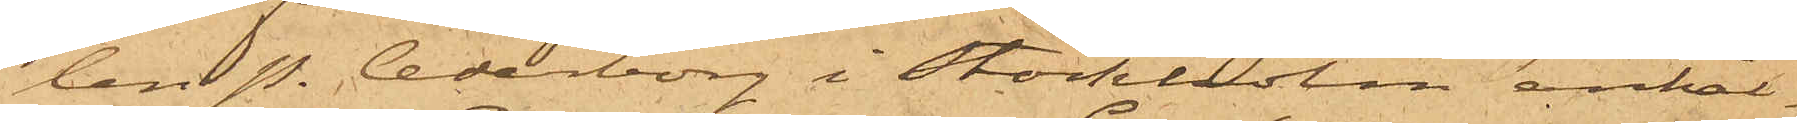len P. Cederborg i Stockholm anhål¬
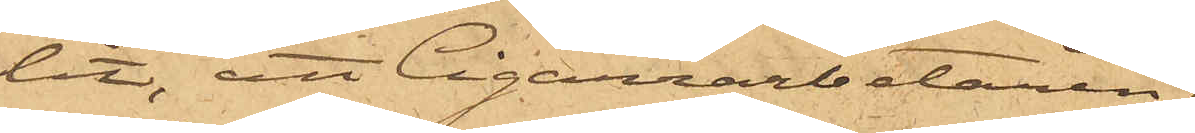lit, att Cigarrarbetaren
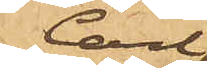Carl
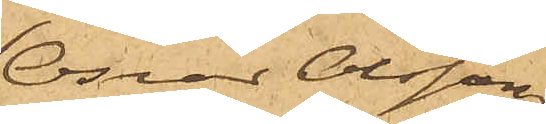Oscar Olsson,
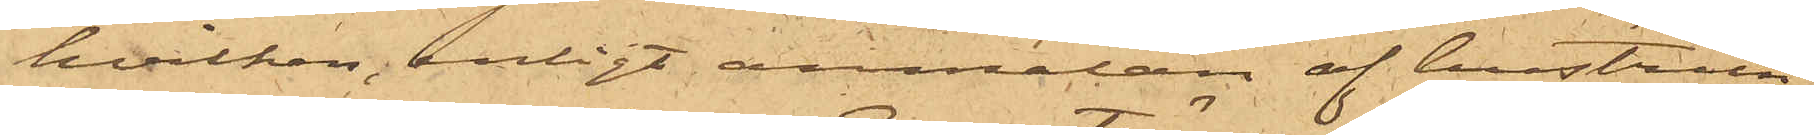hvilken, enligt anmälan af hustrun
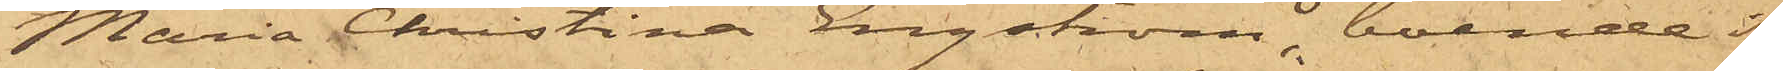Maria Christina Engström, boende i
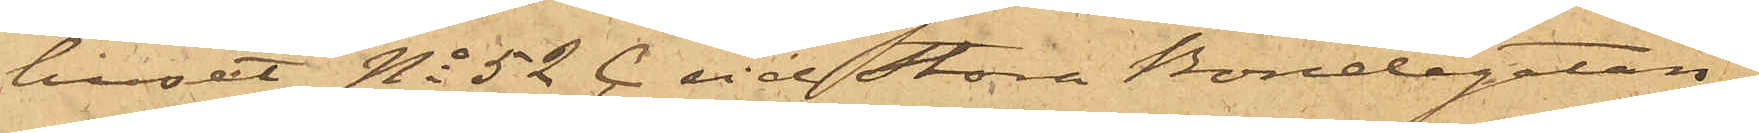huset No 52 C vid Stora Bondegatan,
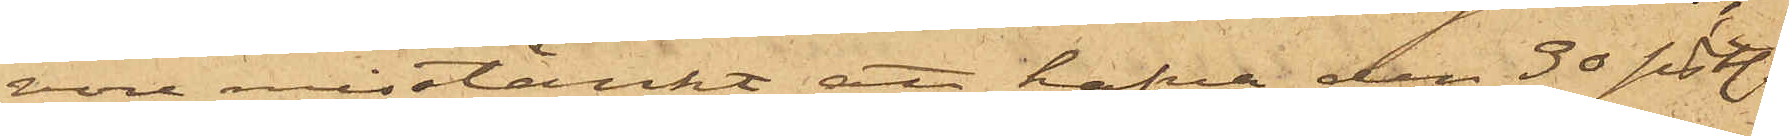vore misstänkt att hafva den 30 sist.
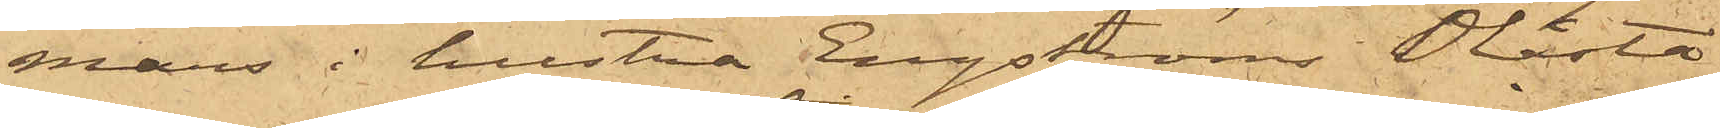mars i hustru Engströms Olåsta
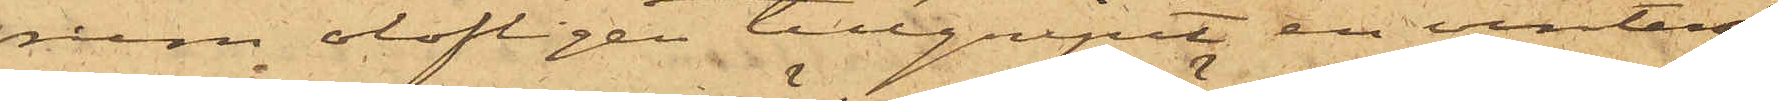rum olofligen tillgripit en vinteröf¬
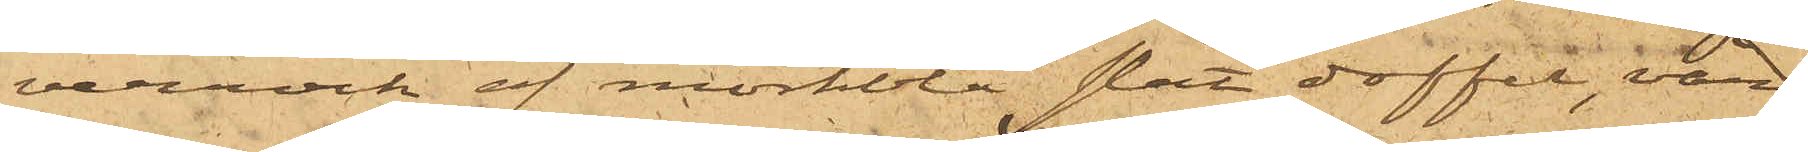verrock af mörkblå slät doffel, värd
